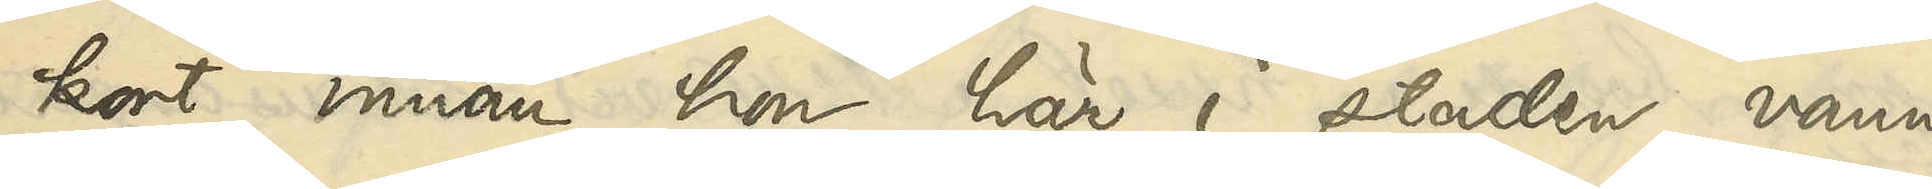kort innan hon här i staden vann
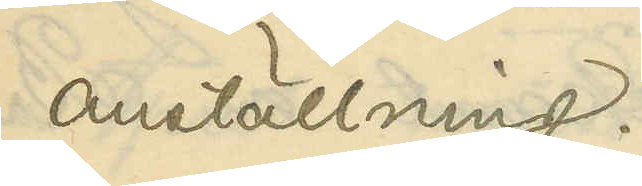anställning.
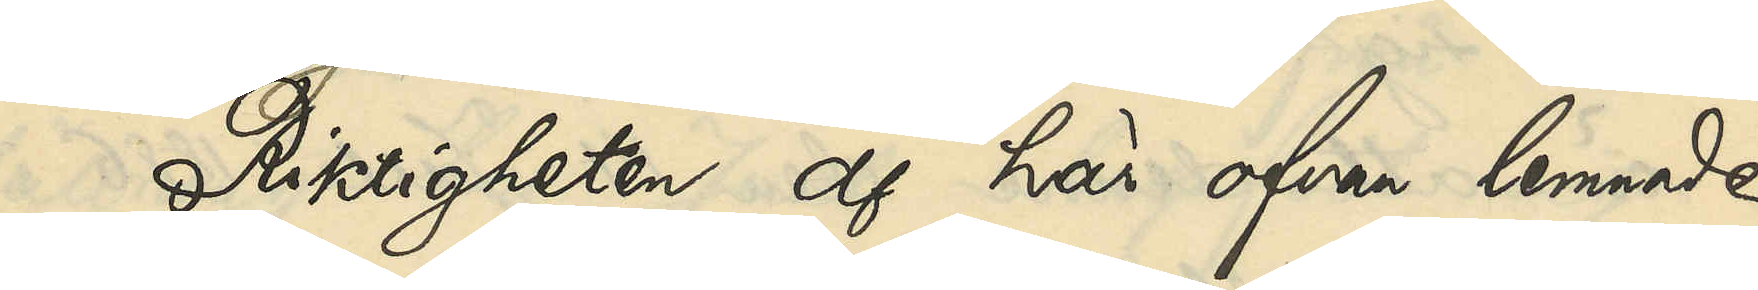Riktigheten af här ofvan lemnade
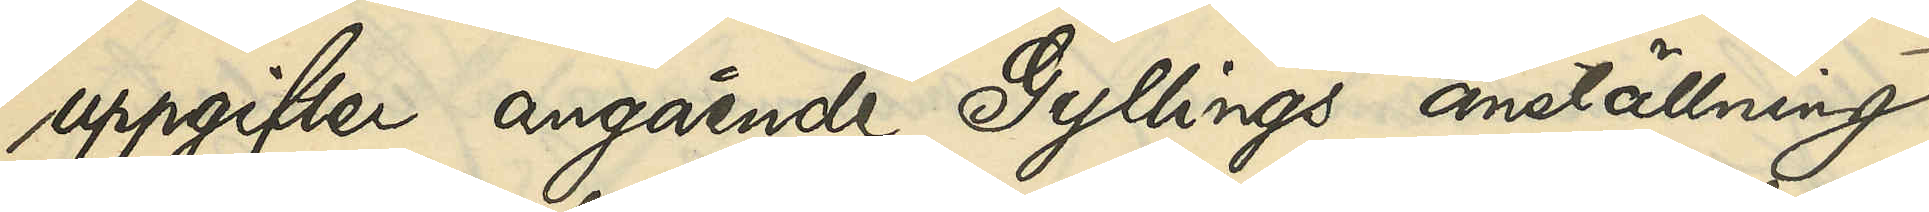uppgifter angående Gyllings anställning
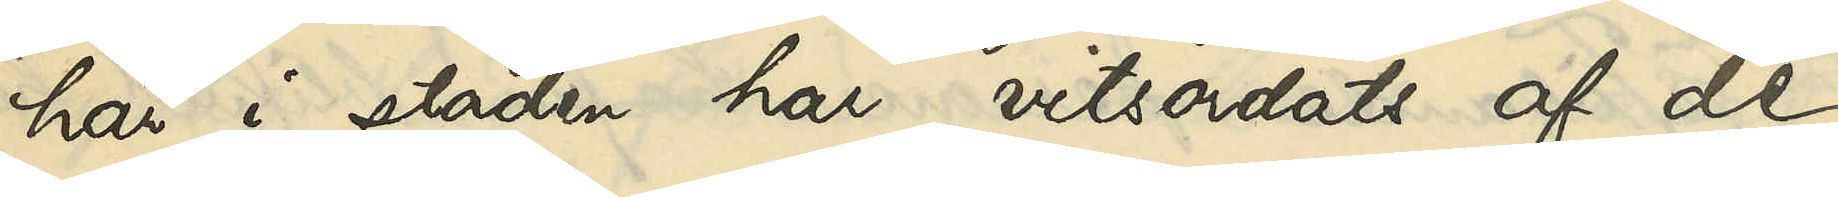här i staden har vitsordats af de
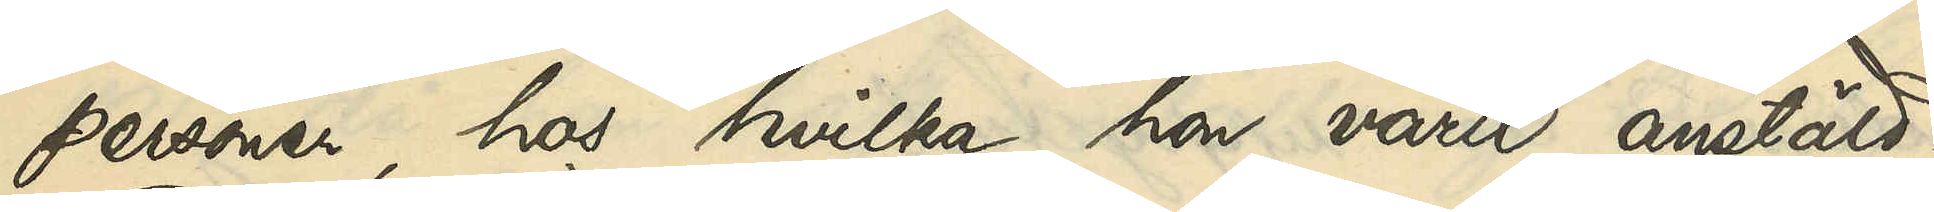personer, hos hvilka hon varit anstäld.
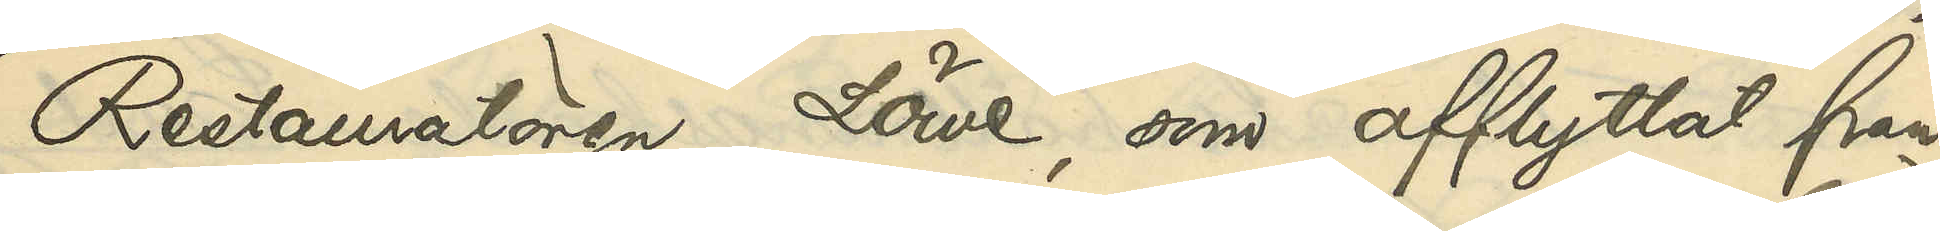Restauratören Löwe, som afflyttat från
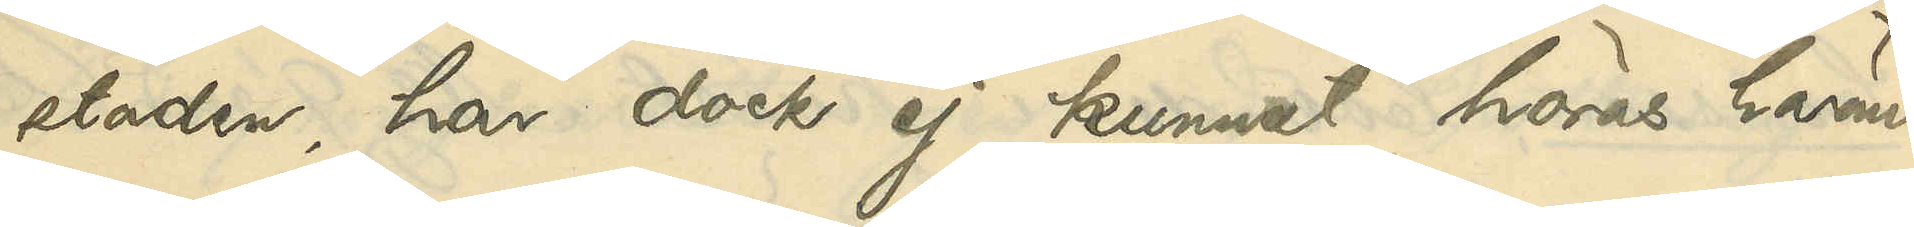staden, har dock ej kunnat höras härom.
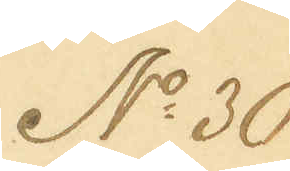No 30
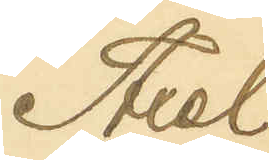Axel
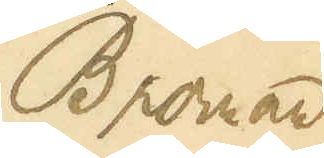Broman
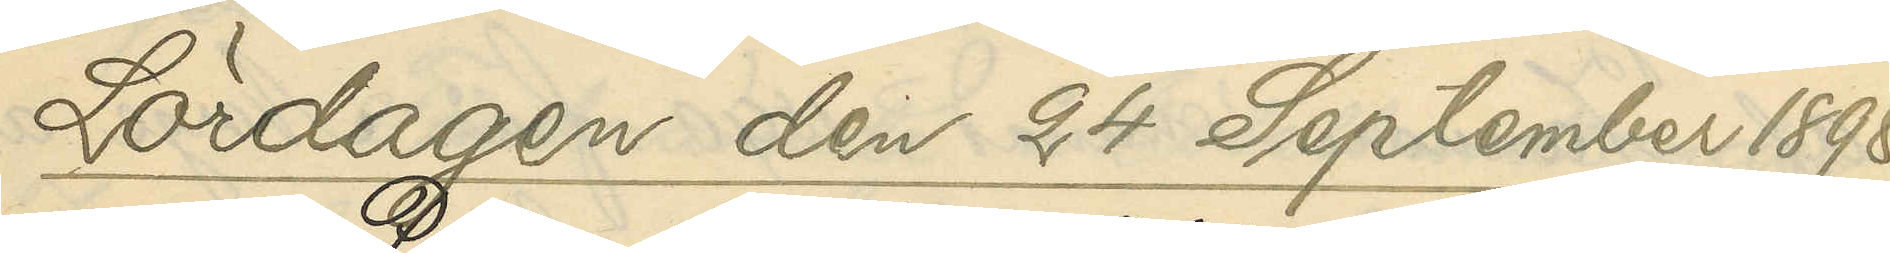Lördagen den 24 September 1898
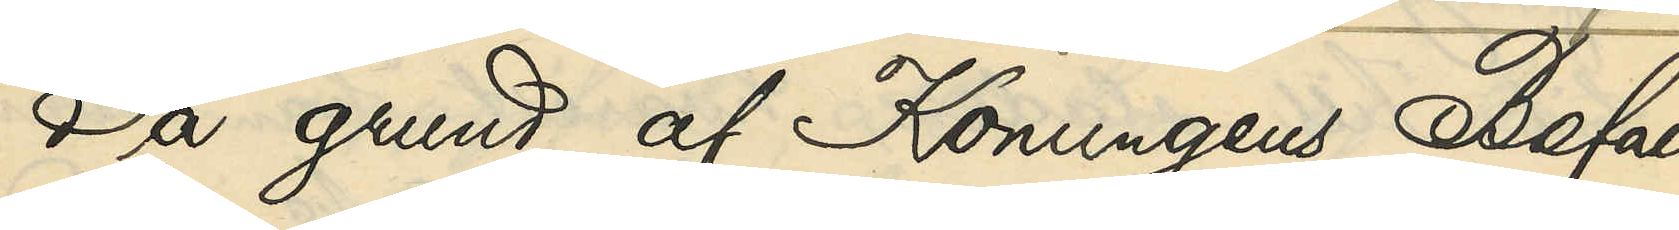På grund af Konungens Befall¬
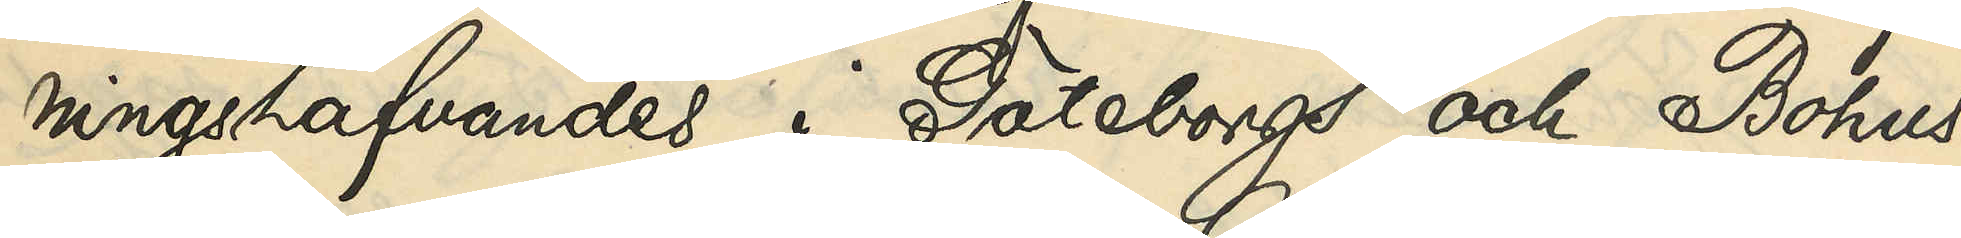ningshafvandes i Göteborgs och Bohus
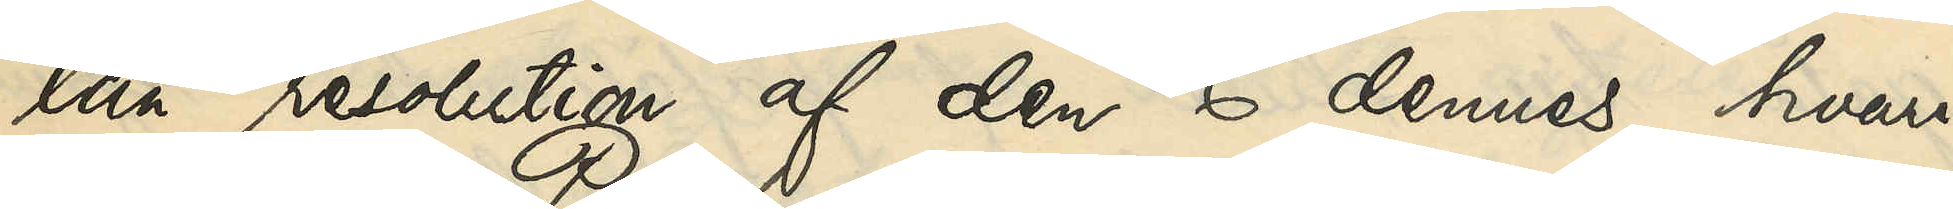län resolution af den 6 dennes, hvari¬
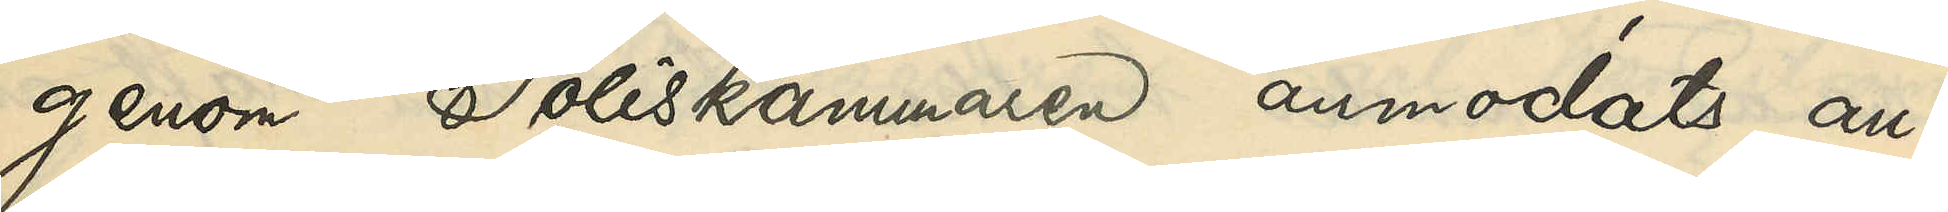genom Poliskammaren anmodats an¬
